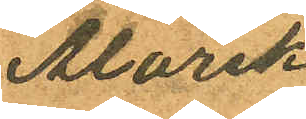Alarik
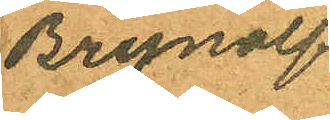Brynolf
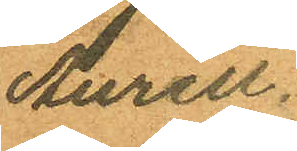Aurell.
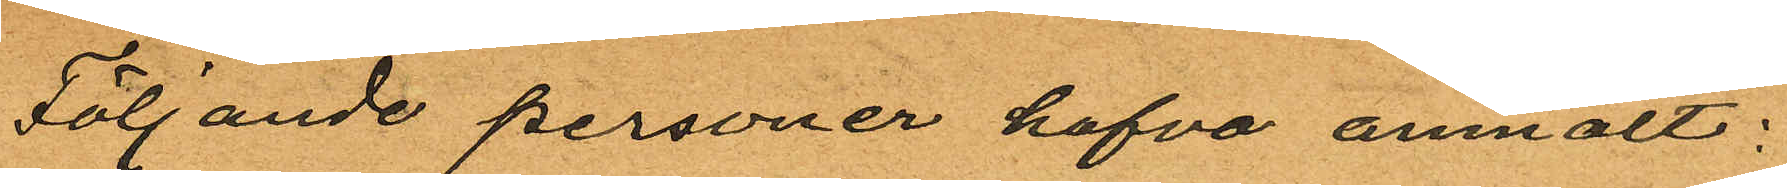Följande personer hafva anmält:
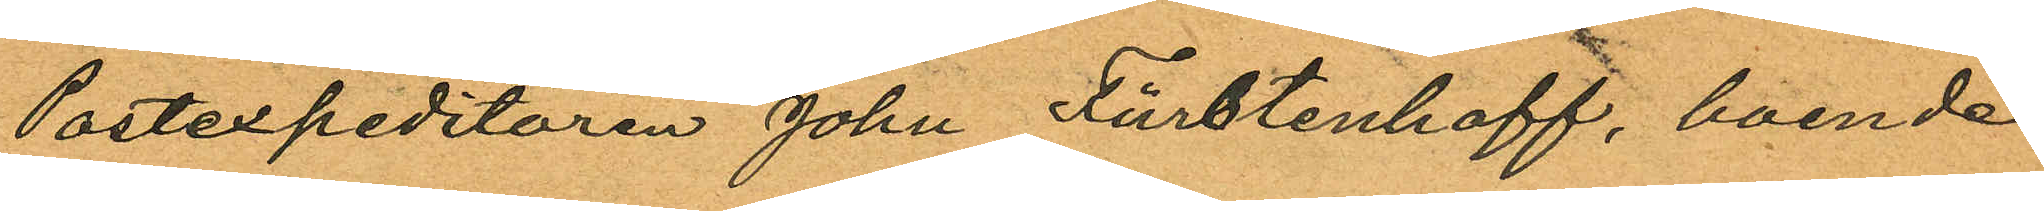Postexpeditören John Fürstenhoff, boende
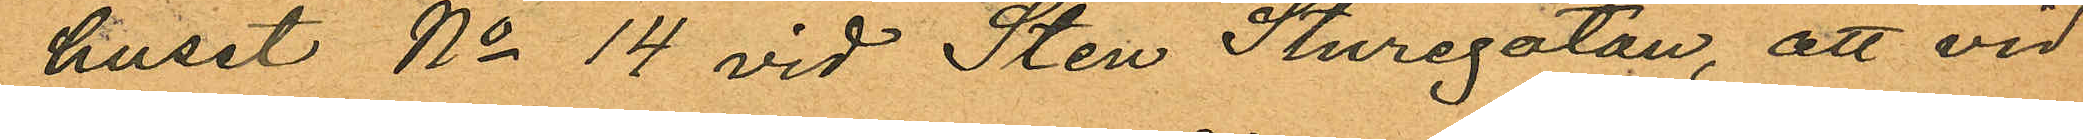huset No 14 vid Sten Sturegatan, att vid
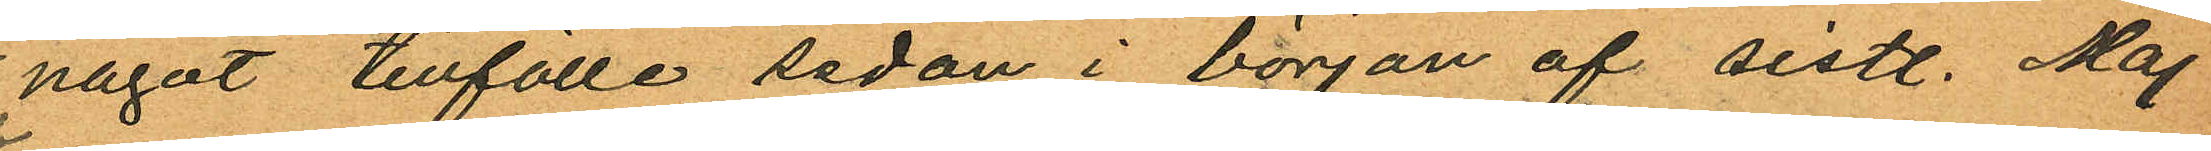något tillfälle sedan i början af sistl. Maj
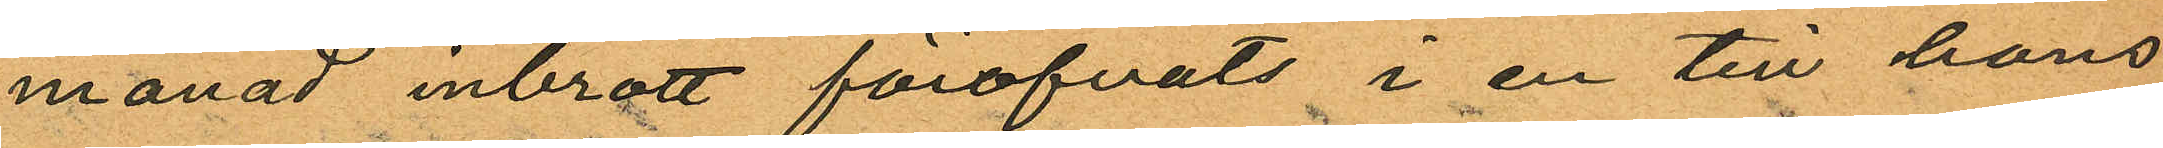månad inbrott föröfvats i en till hans
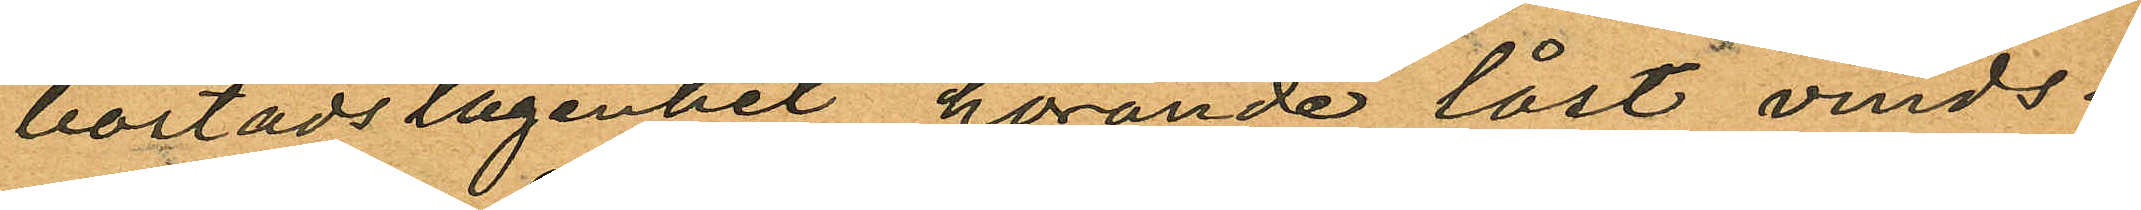bostadslägenhet hörande låst vinds¬
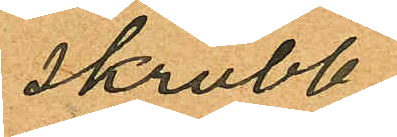skrubb
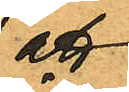att
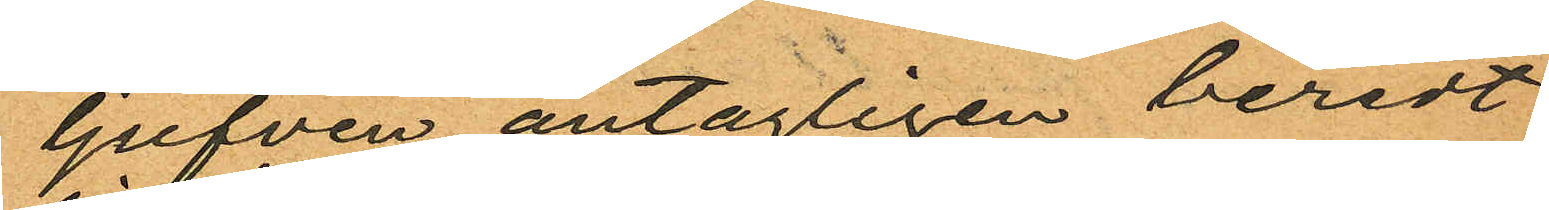ljufven antagligen beredt
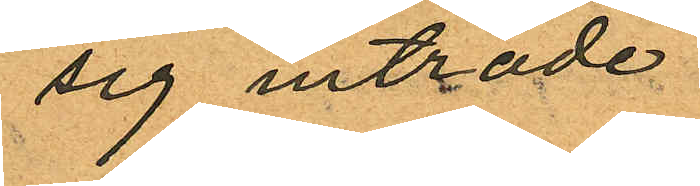sig inträde
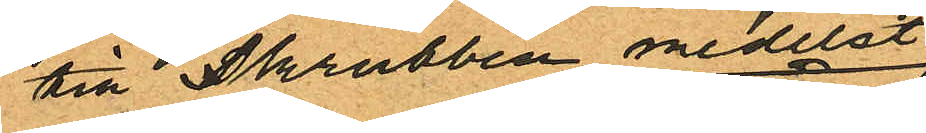till skrubben medelst
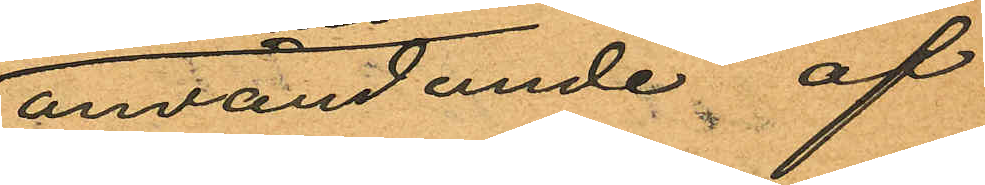användande af
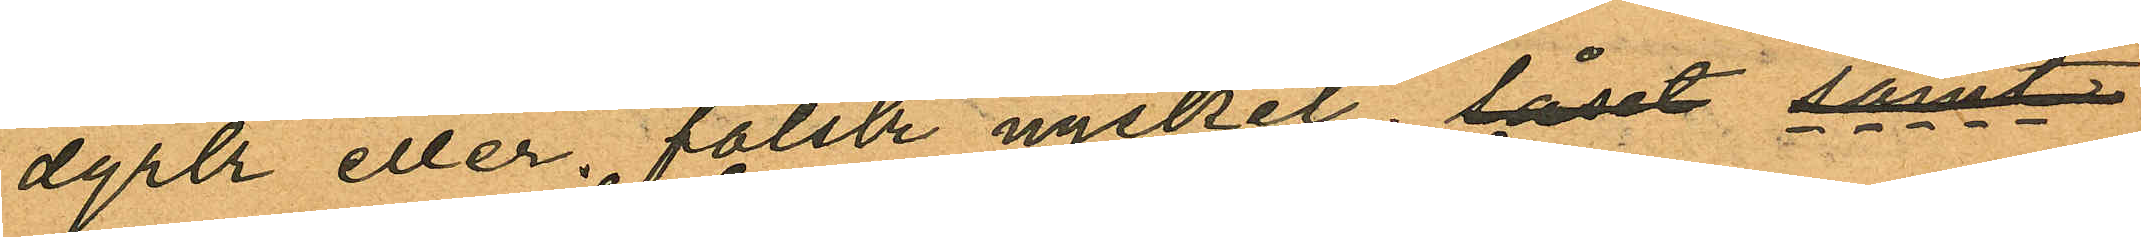dyrk eller falsk nyckel; låset samt
